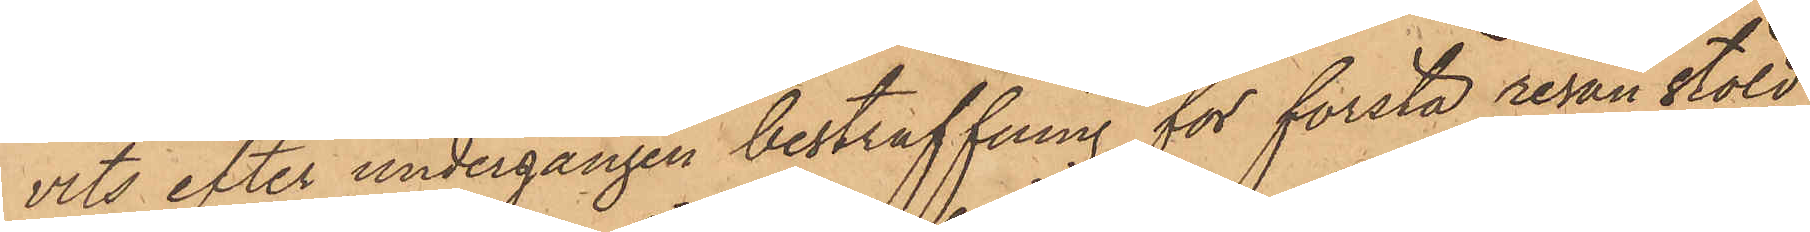vits efter undergången bestraffning för första resan stöld
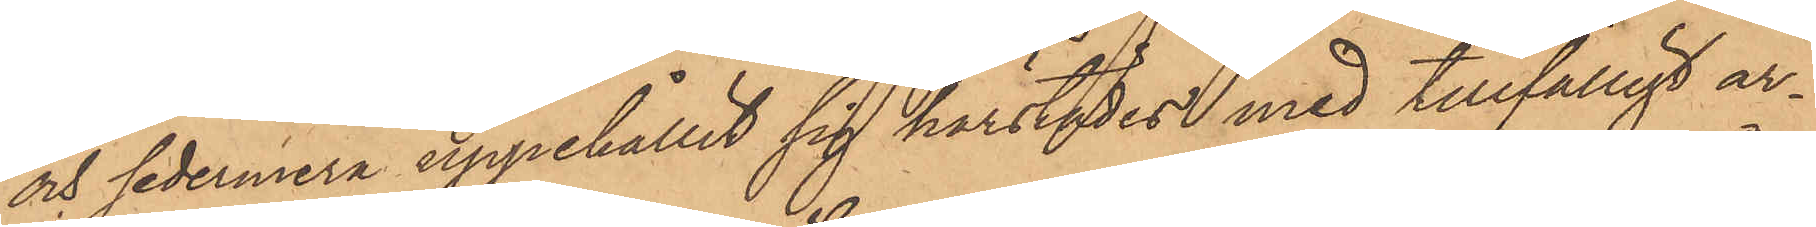och sedermera uppehållit sig härstädes med tillfälligt ar¬
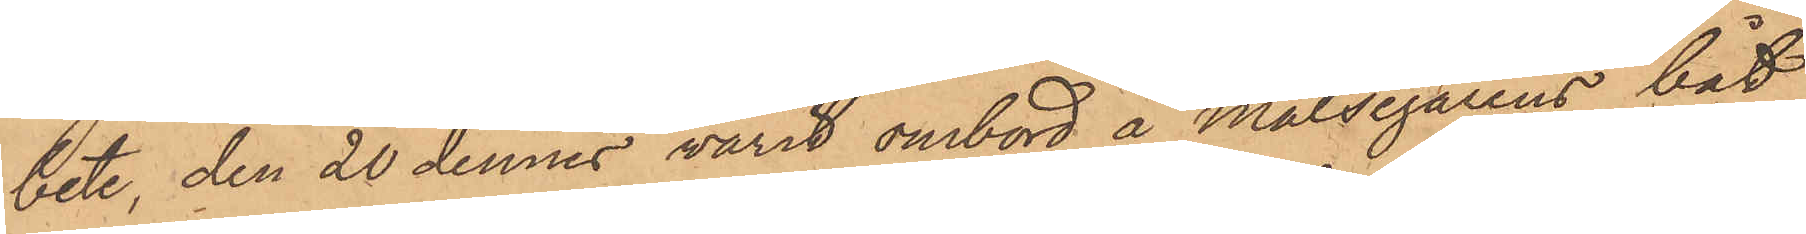bete, den 20 dennes varit ombord å målsegarens båt
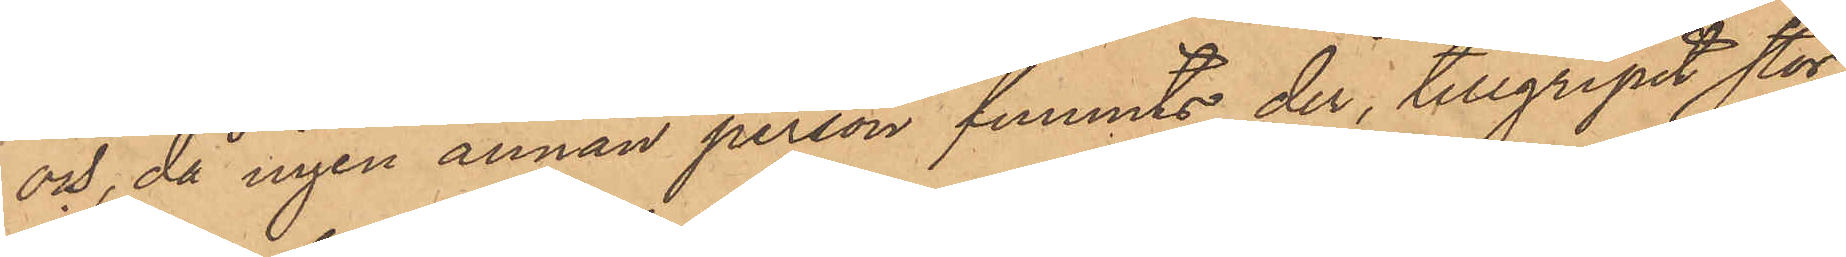och, då ingen annan person funnits der, tillgripit stor¬
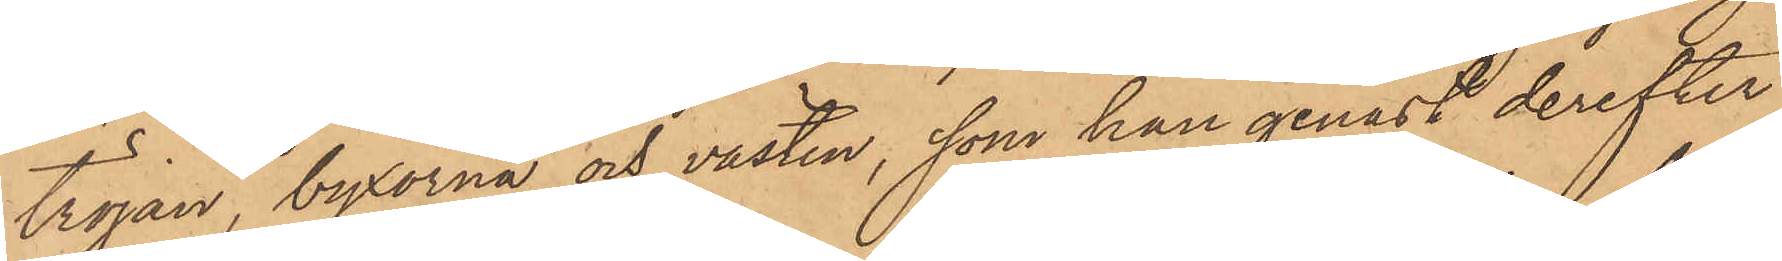tröjan, byxorna och västen, som han genast derefter
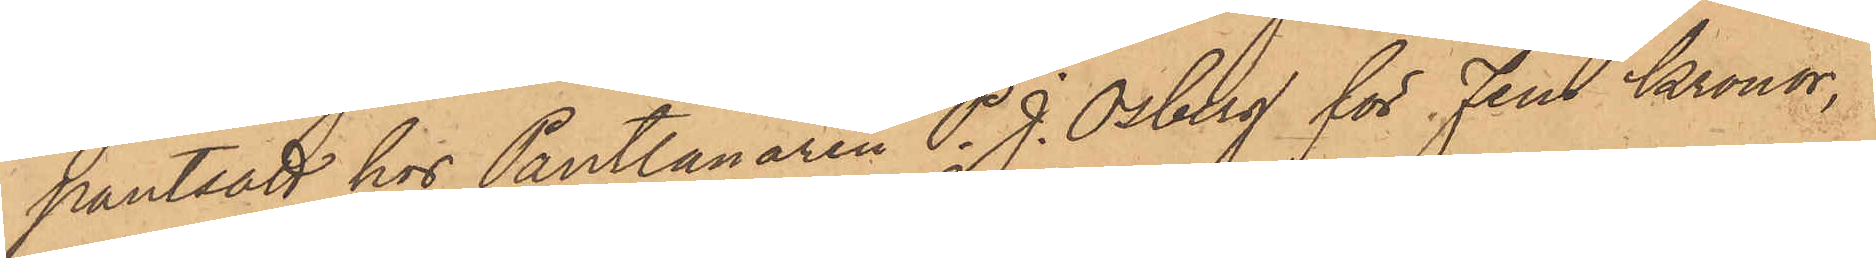pantsatt hos Pantlånaren P. J. Osberg för Fem Kronor,
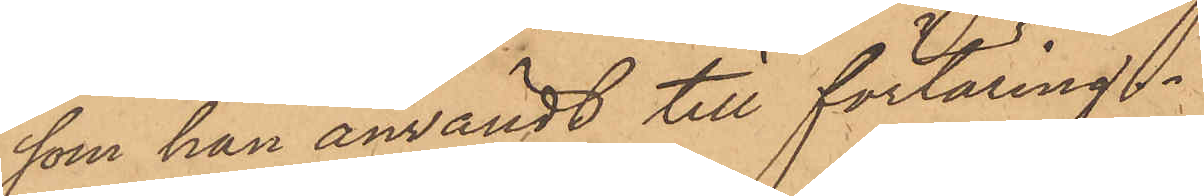som han användt till förtäring.
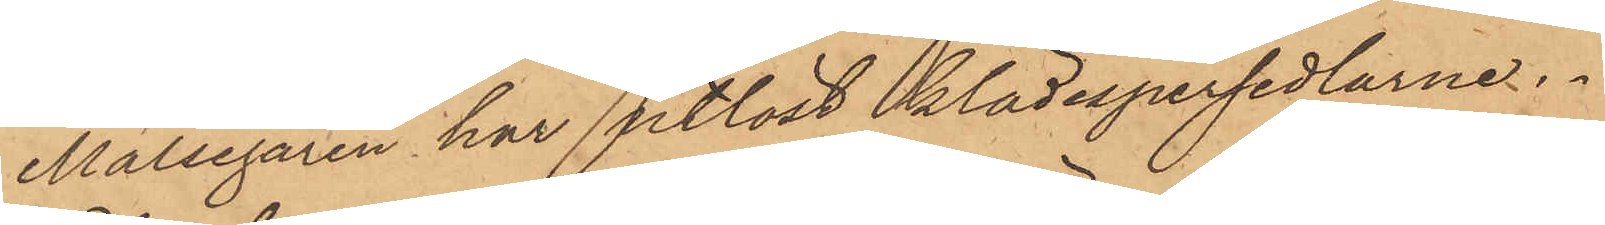Målsegaren har utlöst klädespersedlarne.
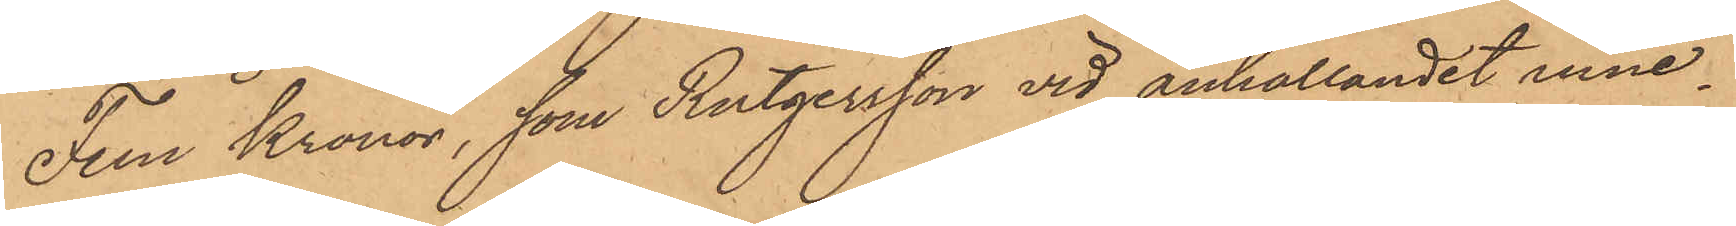Fem Kronor, som Rutgersson vid anhållandet inne¬
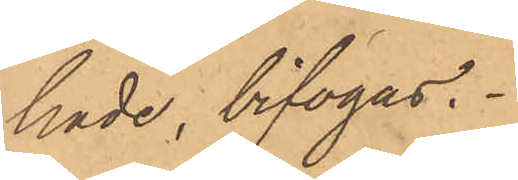hade, bifogas.
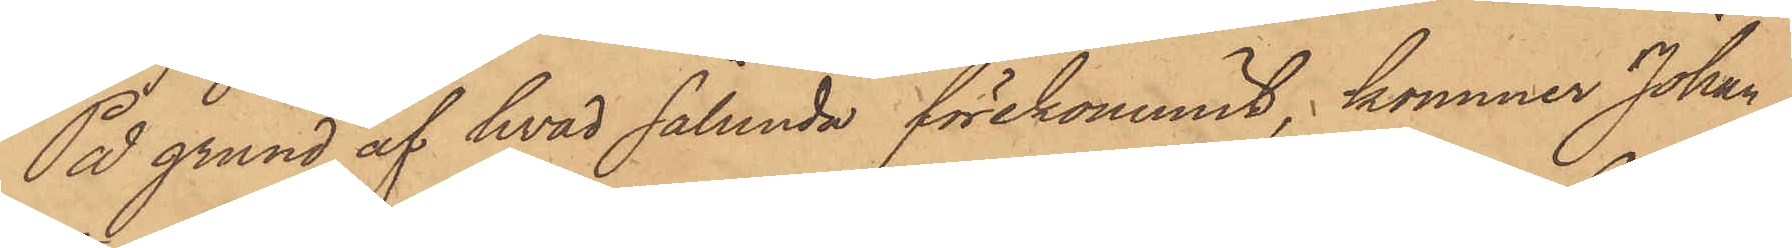På grund af hvad sålunda förekommit, kommer Johan
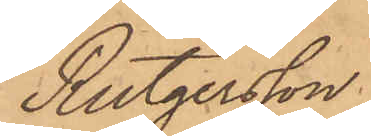Rutgersson.
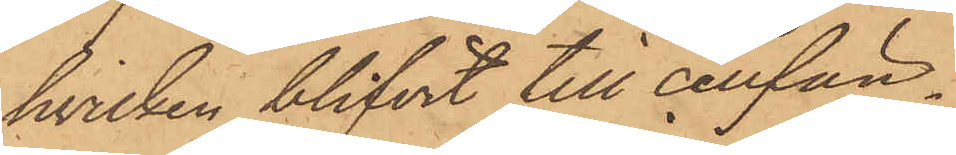hvilken blifvit till cellfän¬
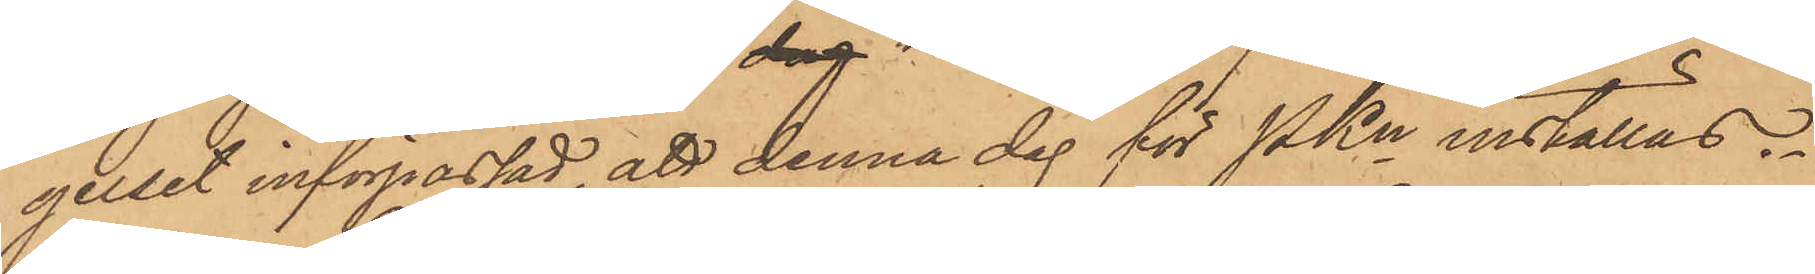gelset införpassad, att denna dag för PKn inställas.
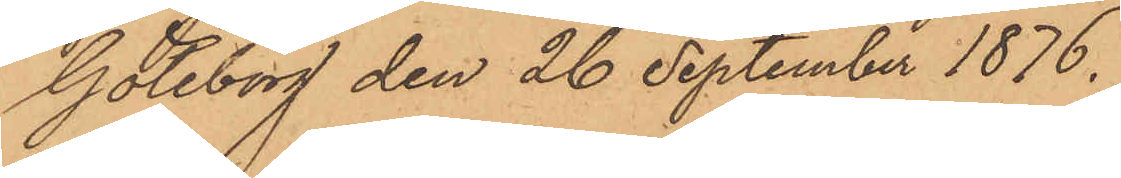Göteborg den 26 September 1876.
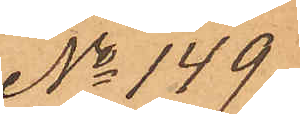No 149
